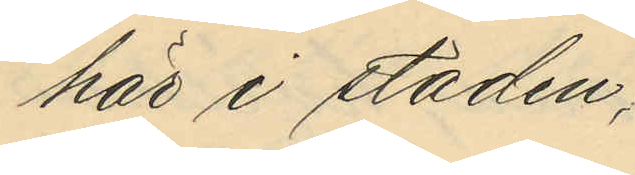här i staden;
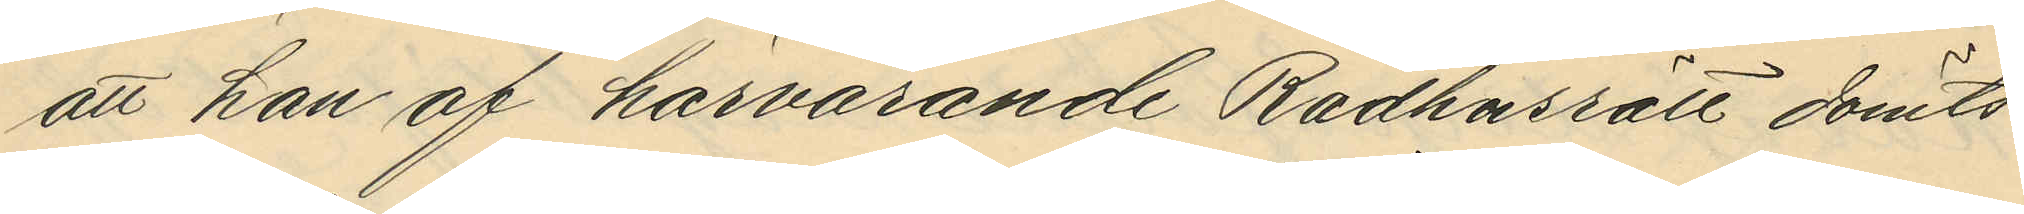att han af härvarande Rådhusrätt dömts:
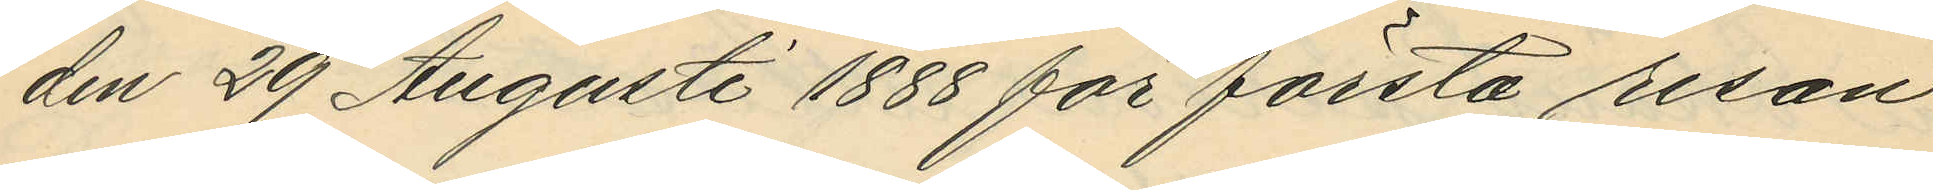den 29 Augusti 1888 för första resan
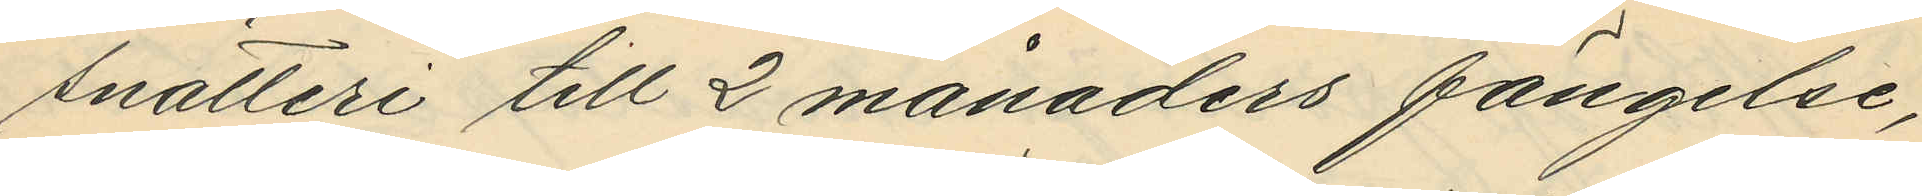snatteri till 2 månaders fängelse,
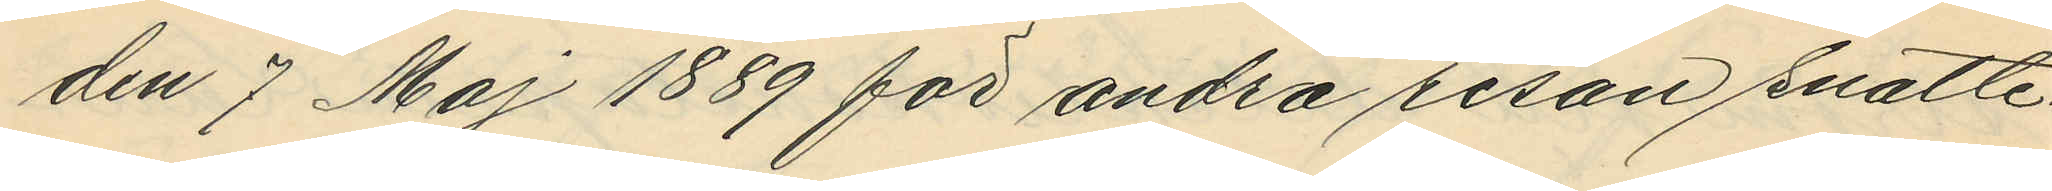den 7 Maj 1889 för andra resan snatte¬
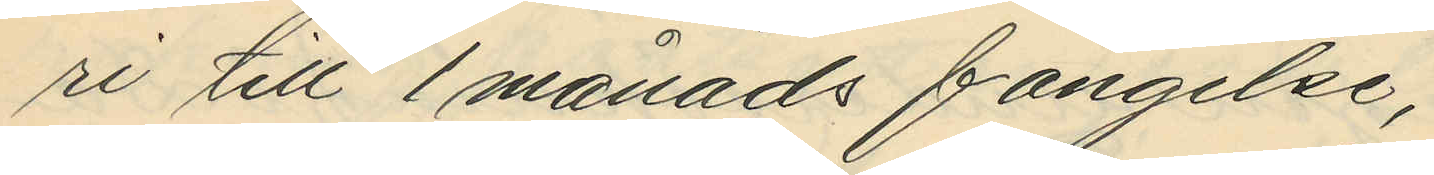ri till 1 månads fängelse;
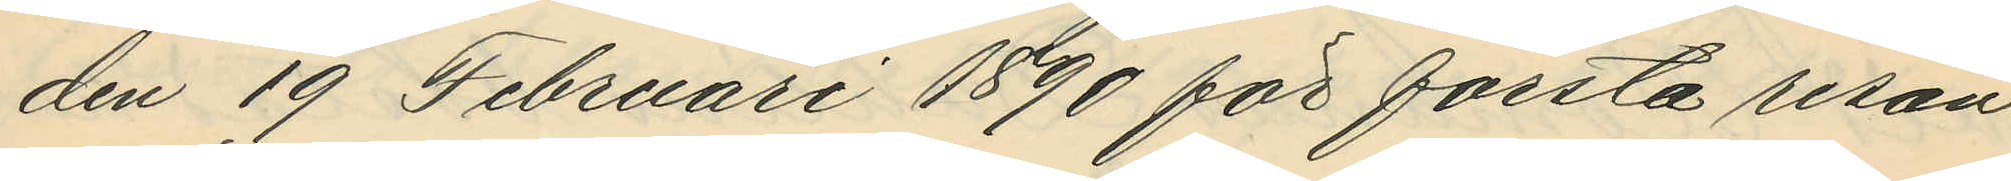den 19 Februari 1890 för första resan
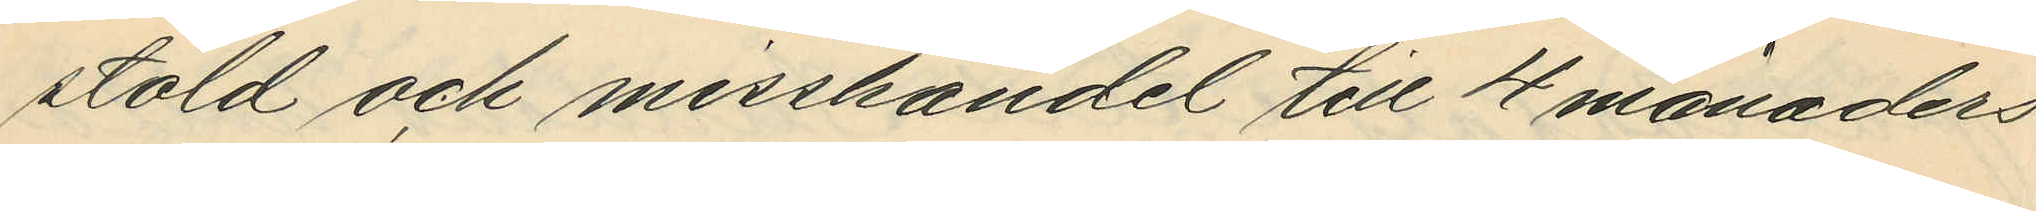stöld och misshandel till 4 månaders
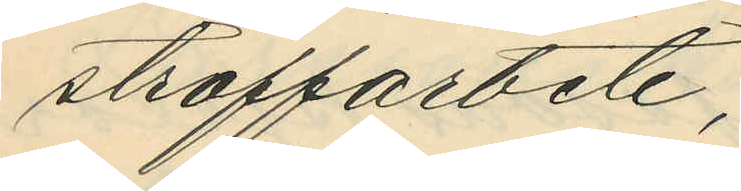straffarbete;
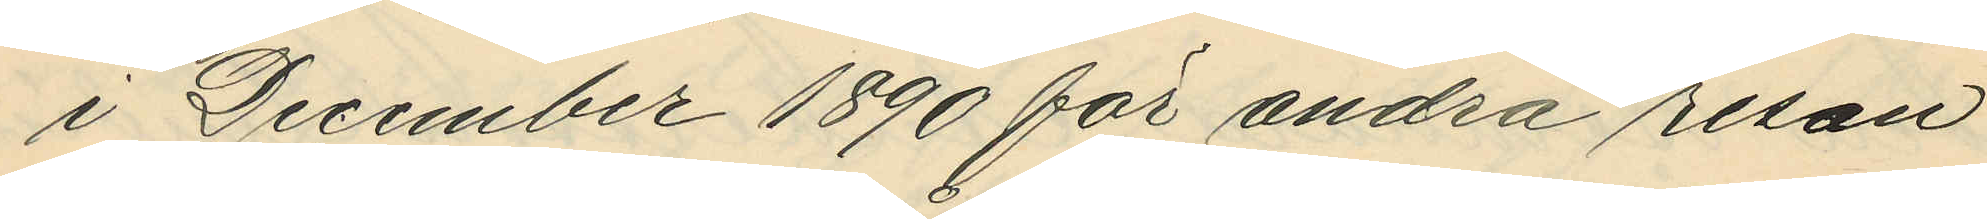i December 1890 för andra resan
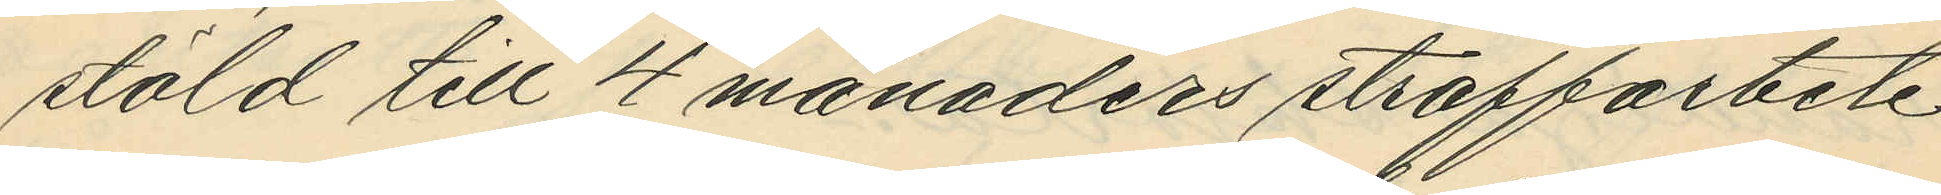stöld till 4 månaders straffarbete
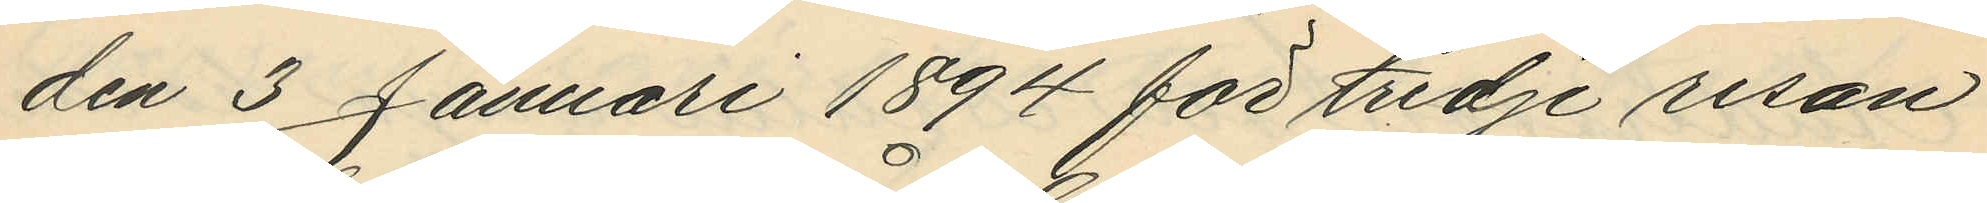den 3 Januari 1894 för tredje resan
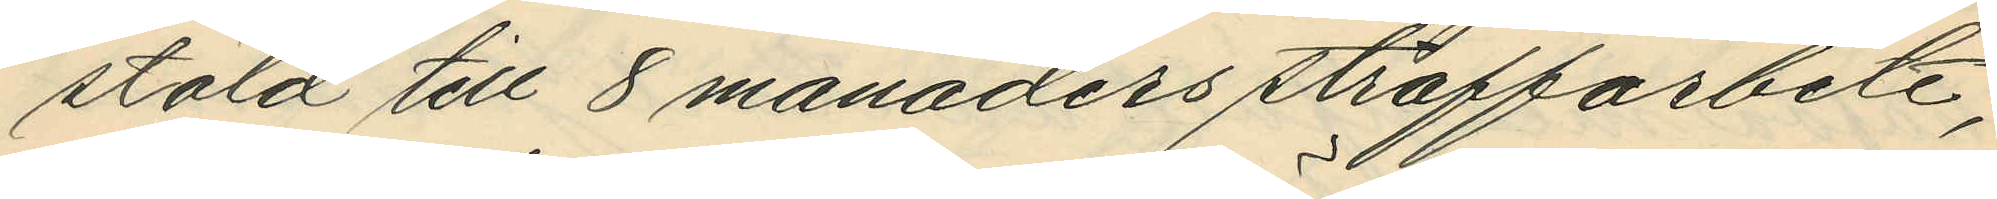stöld till 8 månaders straffarbete;
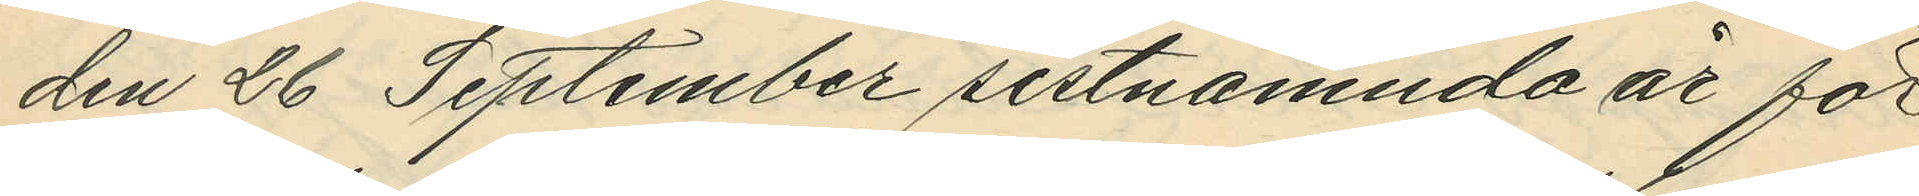den 26 September sistnämnda år för
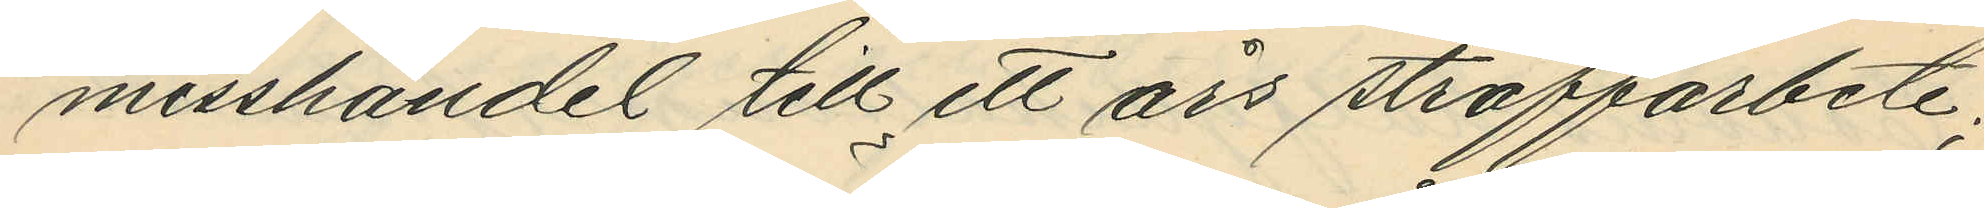misshandel till ett års straffarbete;
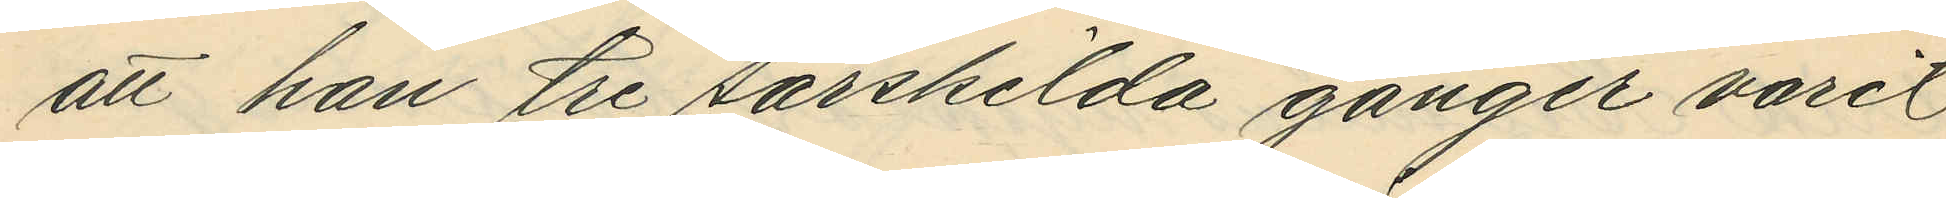att han tre särskilda gånger varit
